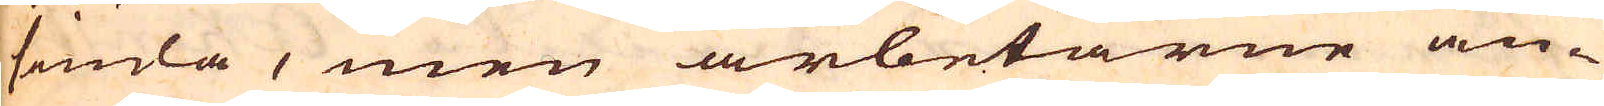siuda, men arbetarne an-
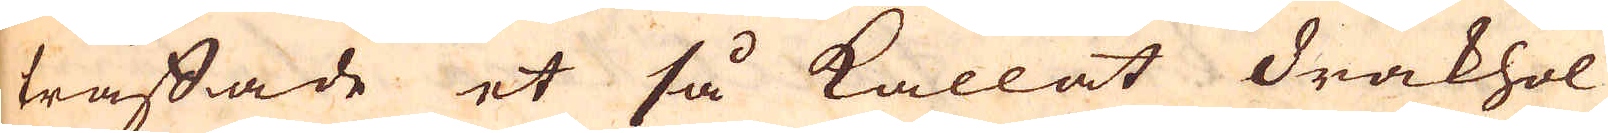träffade et så kallat drakhol
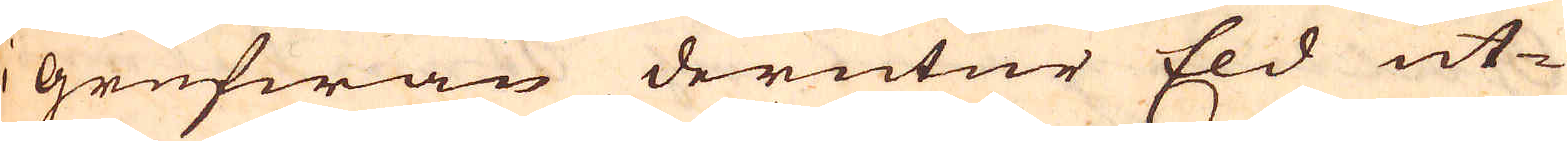i grufwan derutur Eld ut-
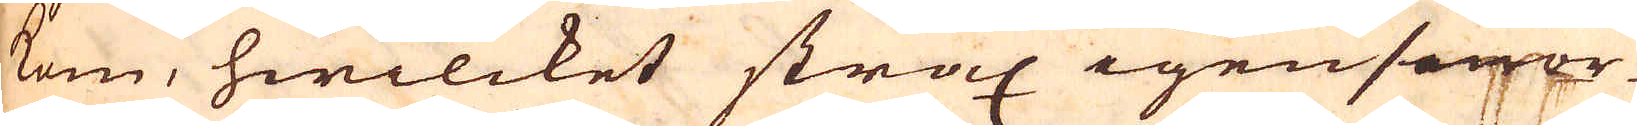kom, hwilcket strax igensenor-
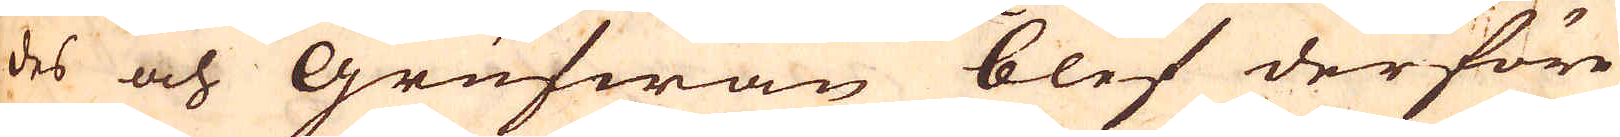des och Grufwan blef derföre
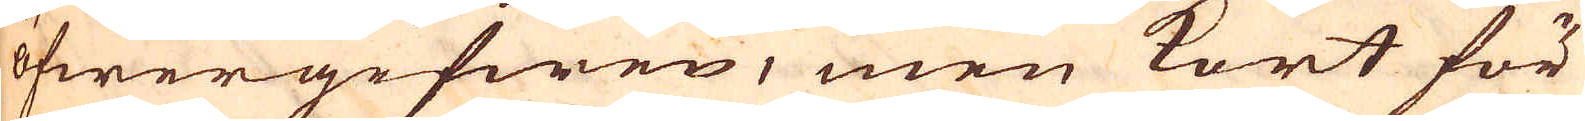öfwergifwen, men kort för
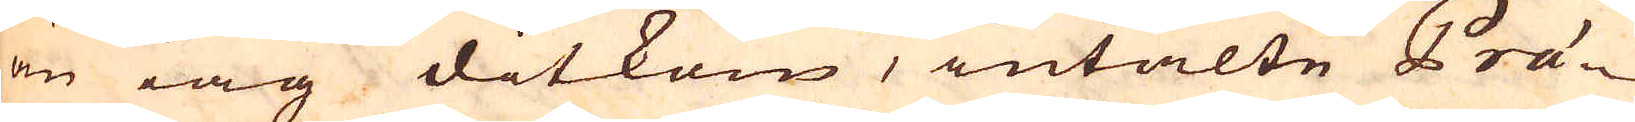än iag ditkom, intalte Prä-
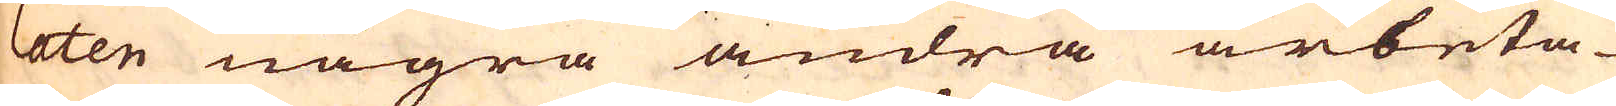laten några andra arbeta-
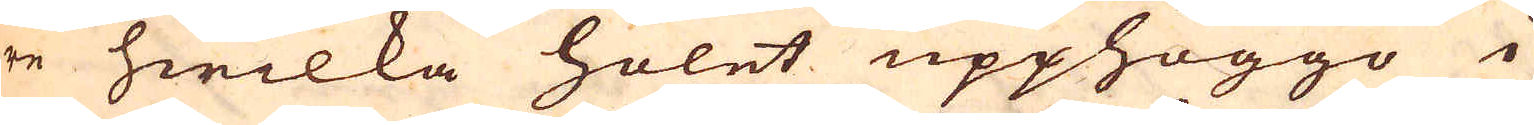re hwilka holet upphöggo i
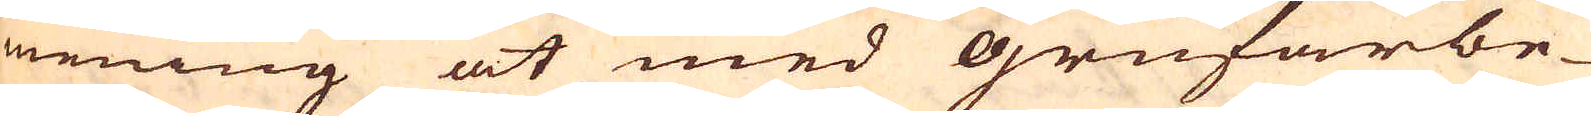mening at med Grufarbe-
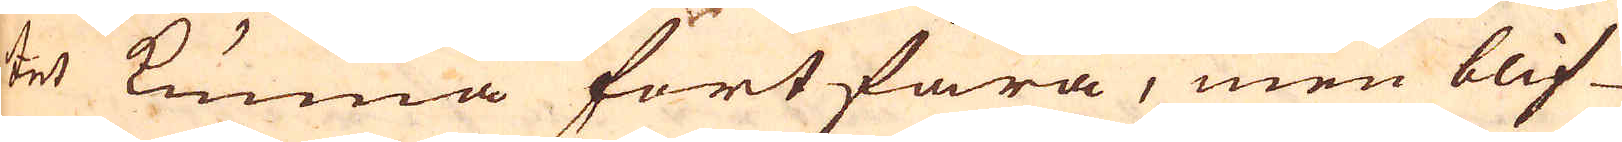tet kunna fortfara, men blif-
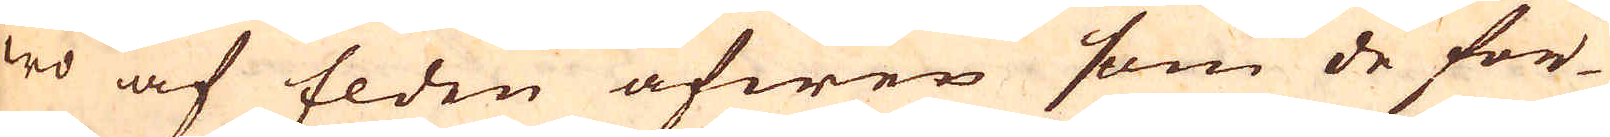wo af Elden äfwen som de for-
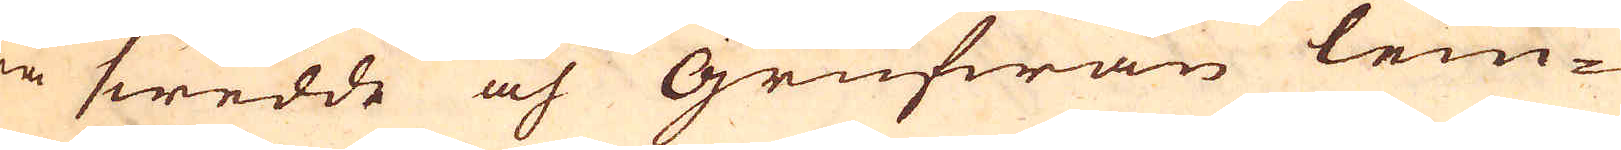ra swedde och Grufwan lem-
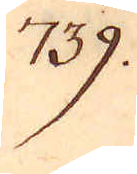739.
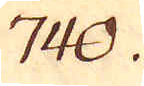740.
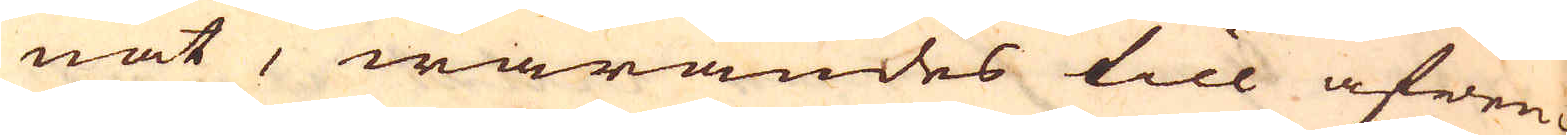nat, warandes till äfwen-
